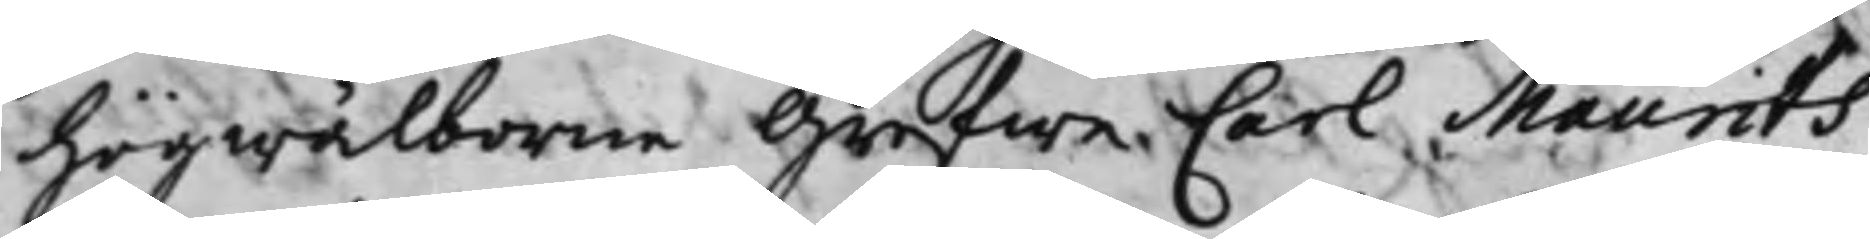högwälborne Grefwe Carl Maurits
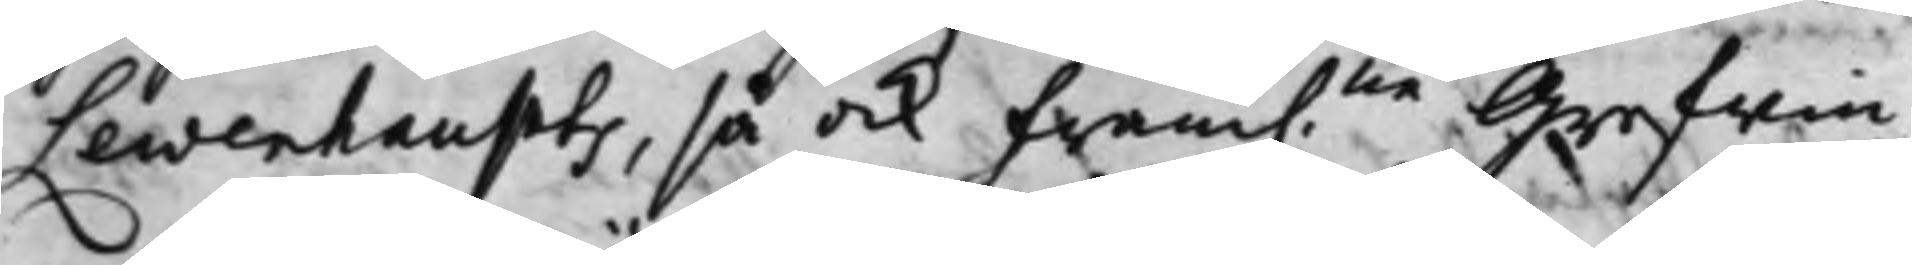Lewenhaupts, så ock Fram:ne Grefwin¬
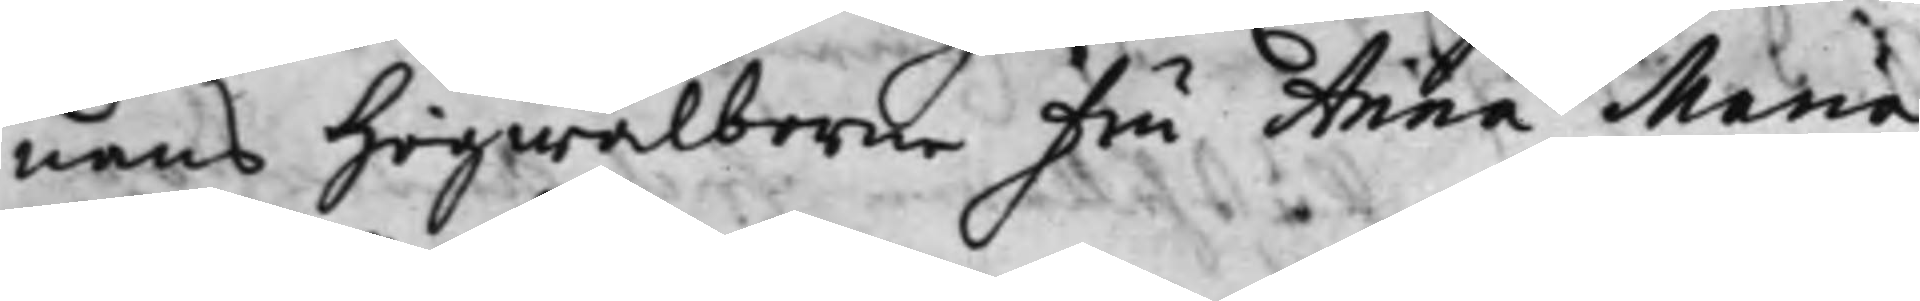nans Högwälborne Fru Anna Maria
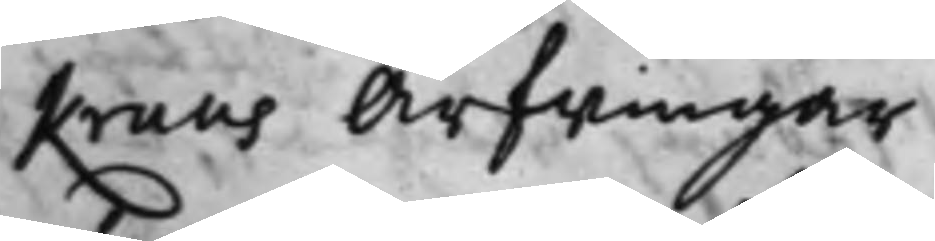Kruus Arfwingar.
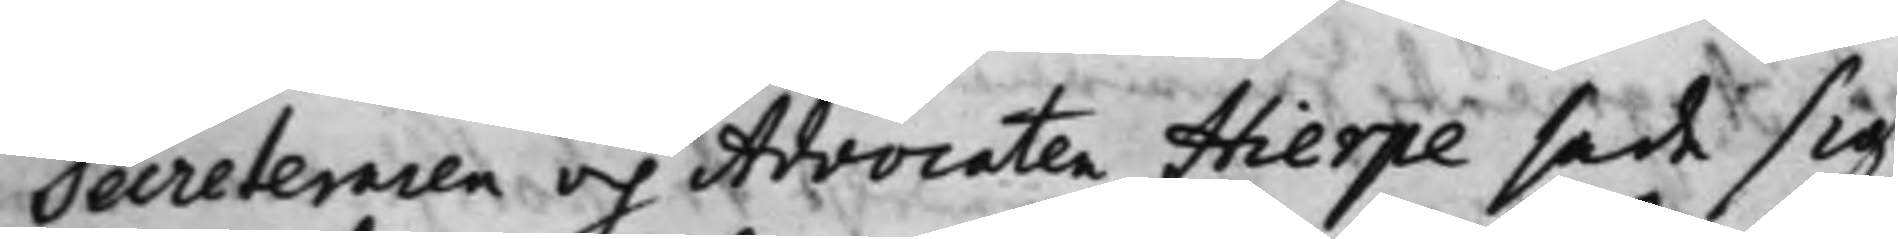Secreteraren och Advocaten Hierpe sade sig
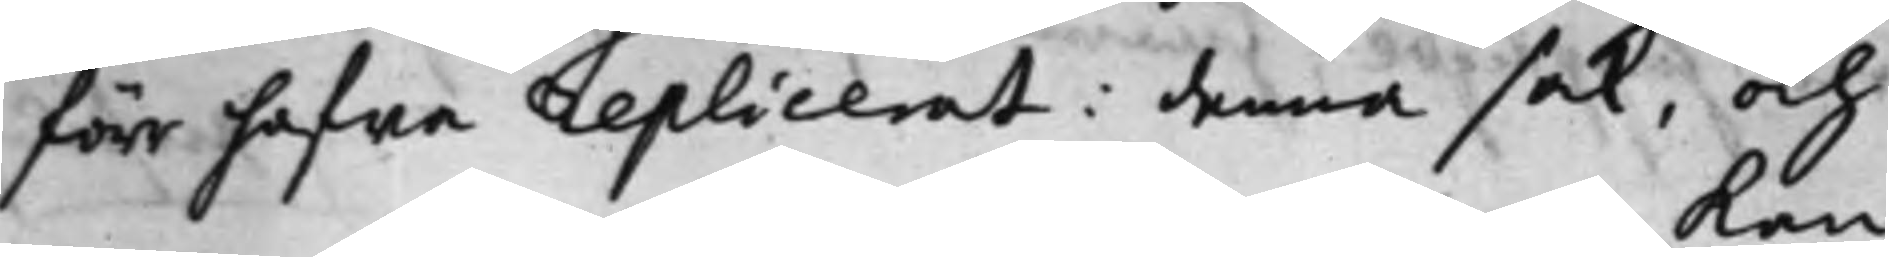förr hafwa replicerat i denna Sak, och
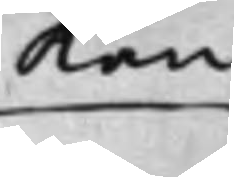Kan
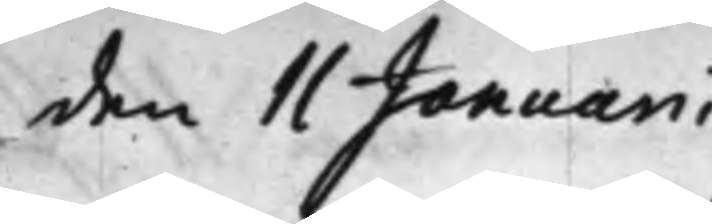den 11 Januarii
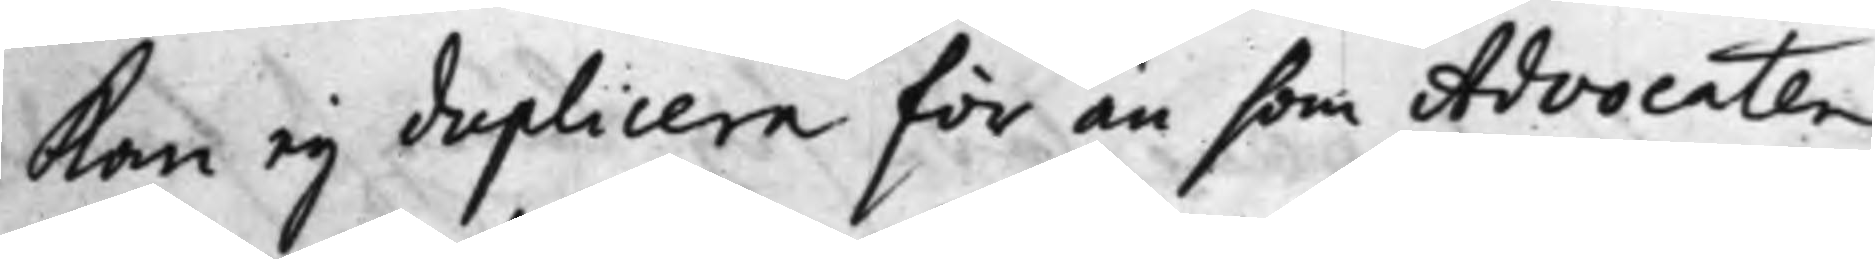Kan ej duplicera för än som Advocaten
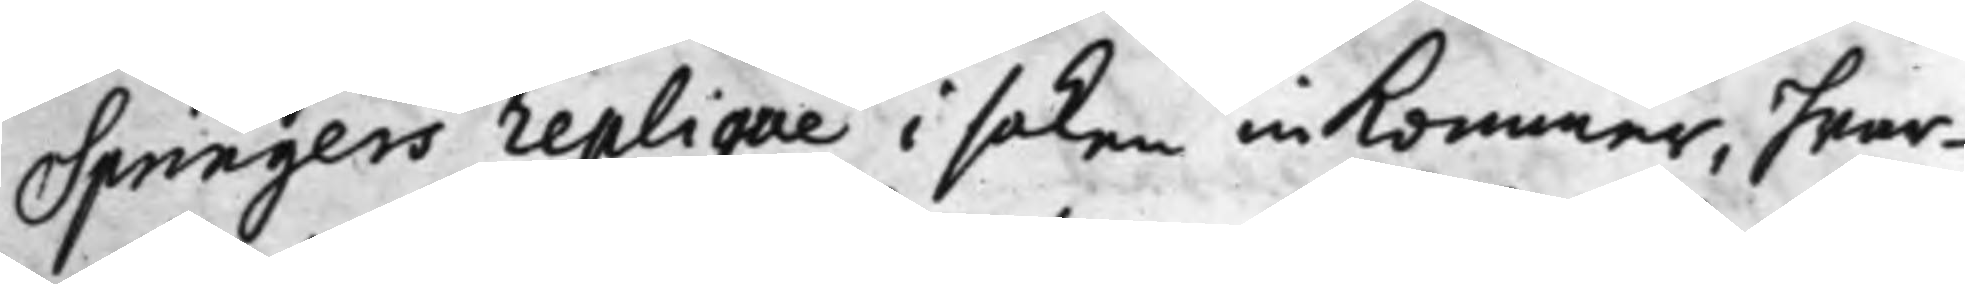Springers replique i saken inkommer, hwar¬
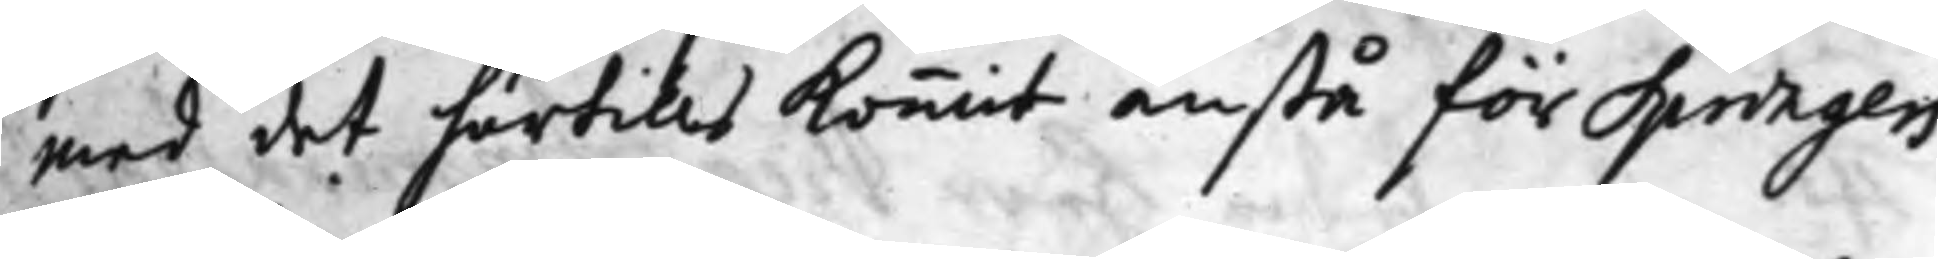med det härtills kommit anstå för Springers
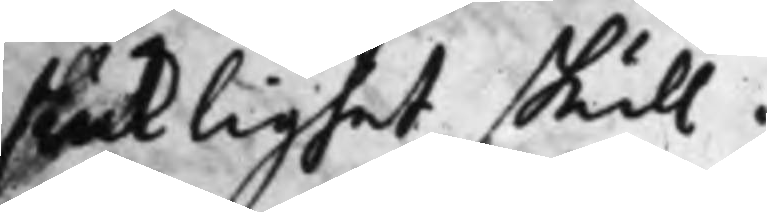sjuklighet skull.
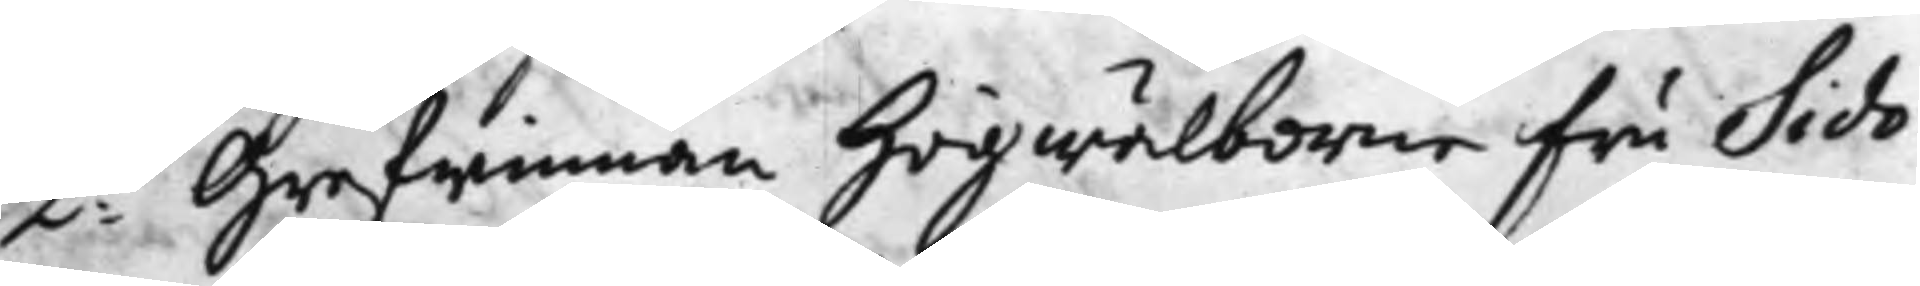2:do Grefwinnan Högwälborne Fru Sido¬
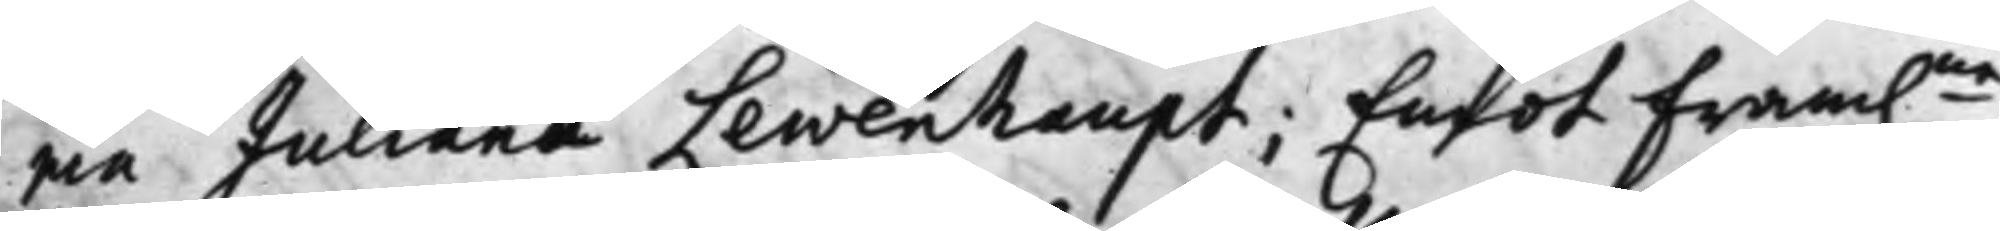nia Juliana Lewenhaupt; Emot Fram.ne
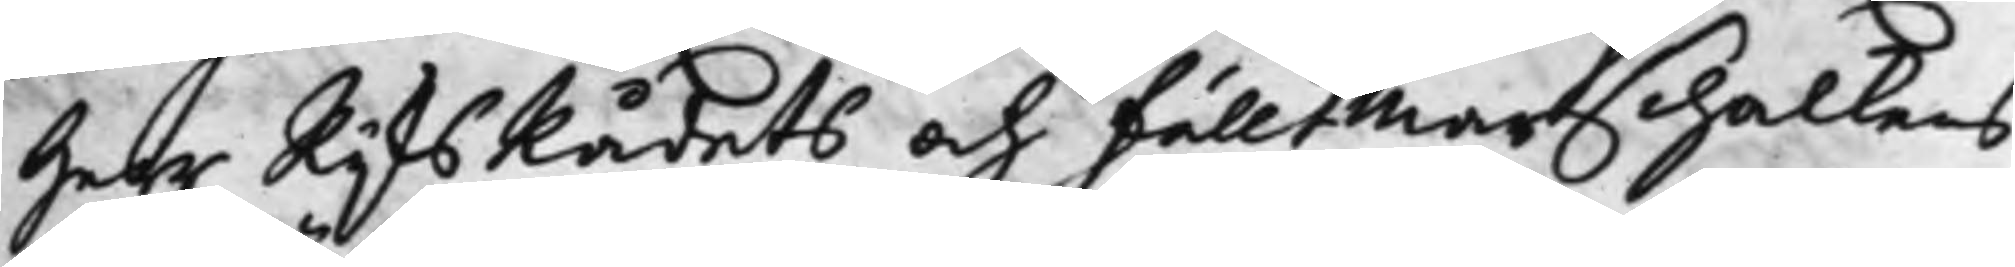Herr RijksRådets och Fälltmarschalkens
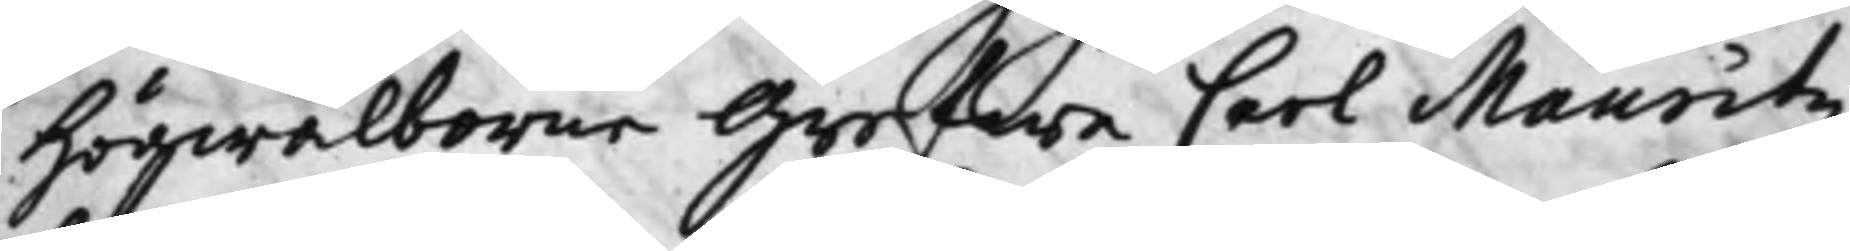Högwälborne Grefwe Carl Mauritz
